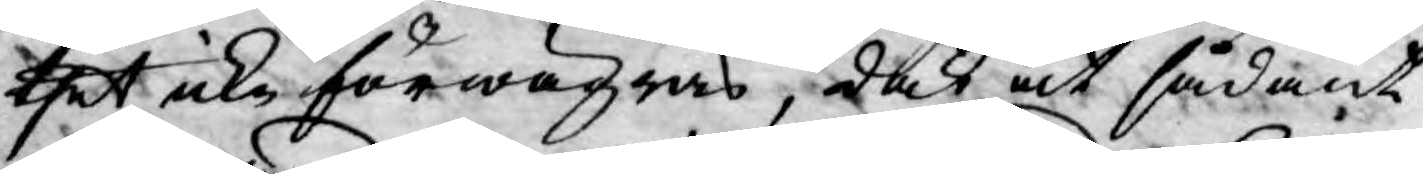thet icke förwägras, dock at sådant
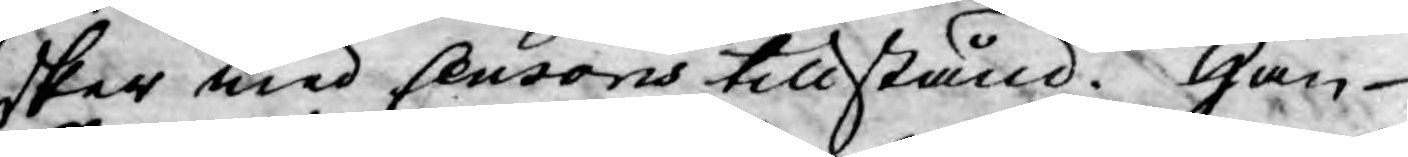sker med Censoris tillstånd. Han
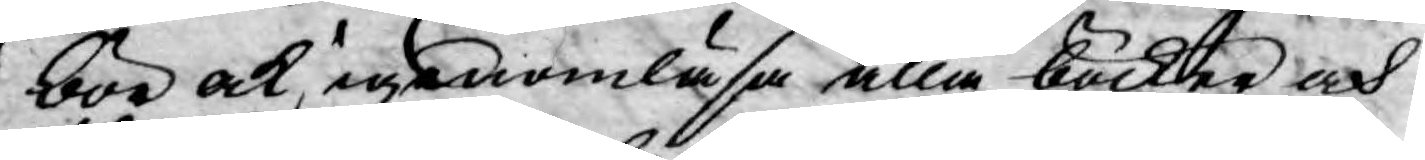bör ock igenomläsa alla böcker och
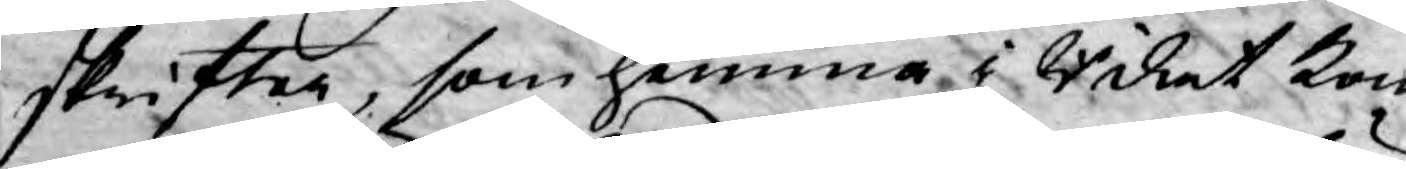skrifter, som hemma i Riket kom¬
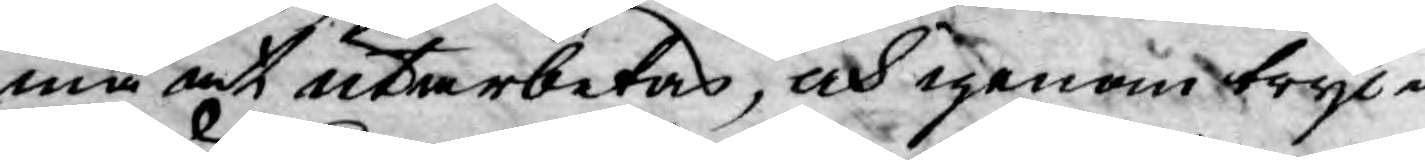ma at utarbetas, och igenom tryc¬
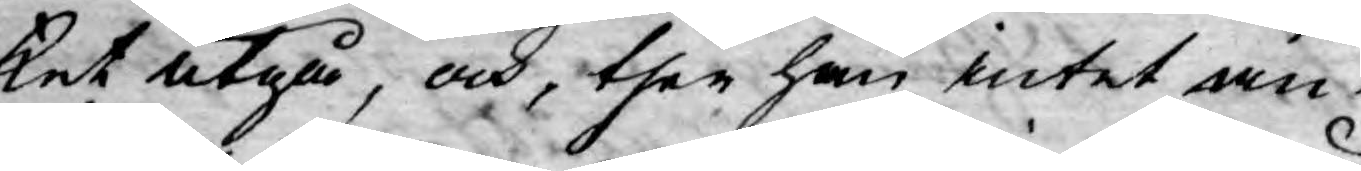ket utgå, och then han intet an¬
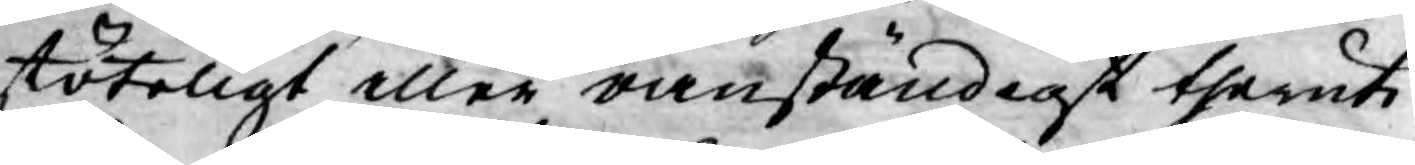stöteligt eller oanständigt theruti
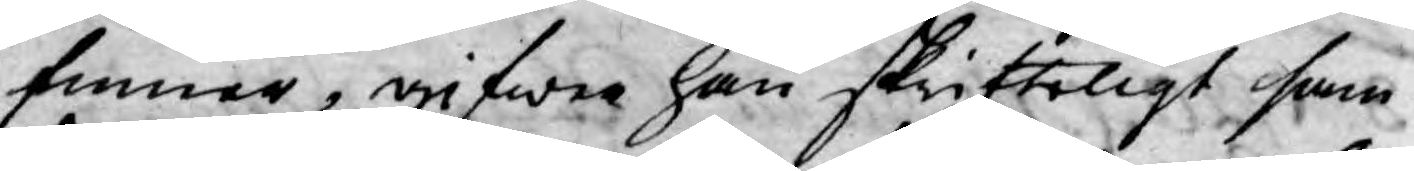finner, gifwer han skrifteligt sam¬
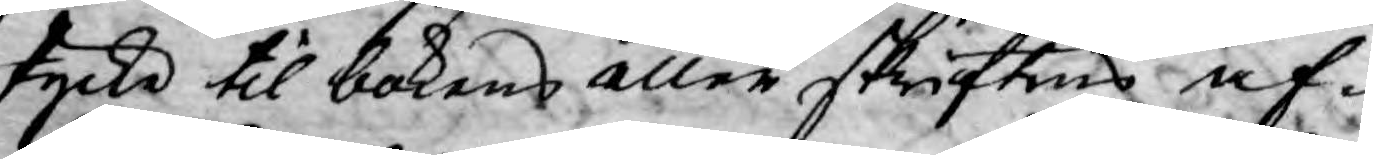tycke til bokens eller skriftens af¬
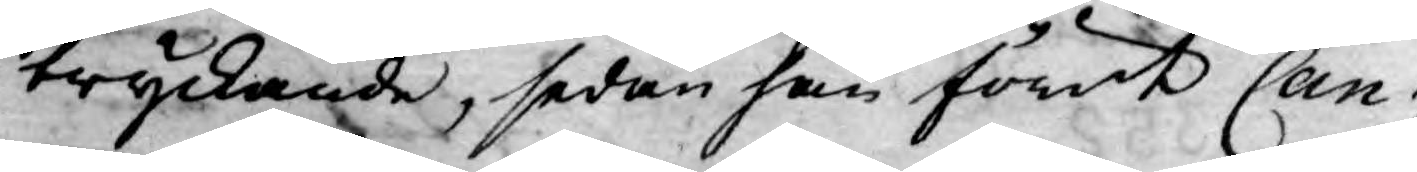tryckande, sedan han förut Can¬
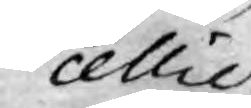cellie
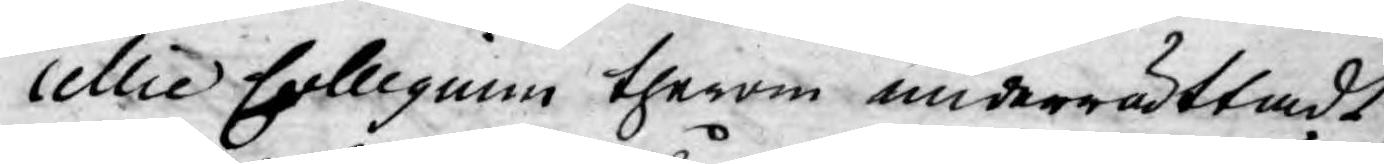cellie Collegium therom underrättadt
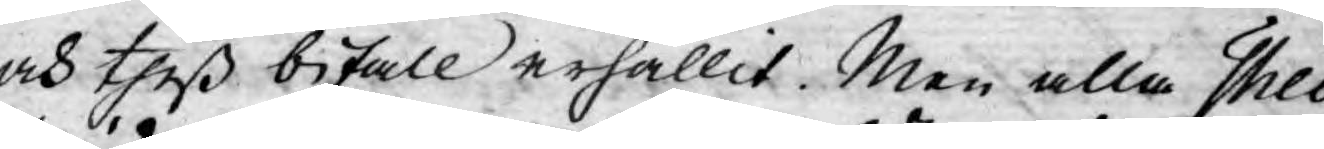och theß bifall erhållit. Men alla Theo¬
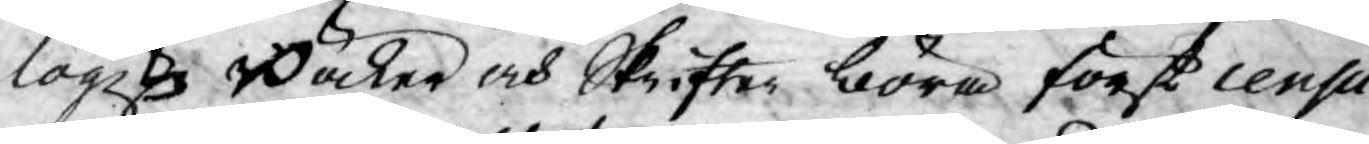logiske Böcker och Skrifter böra först censu¬
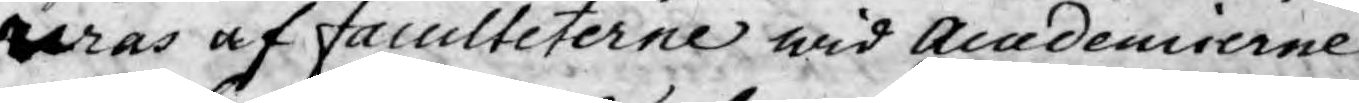reras af faculteterne wid Acdemierne
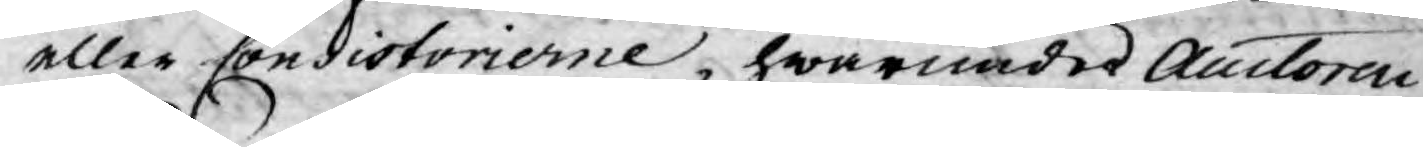eller Consistorierne, hwarunder Auctoren
